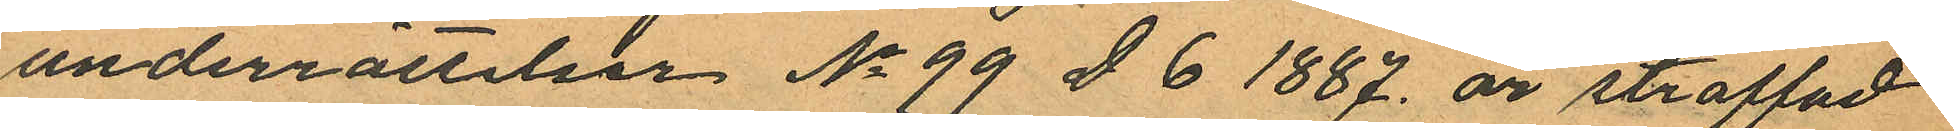underrättelsen No 99 D 6 1887 är straffad
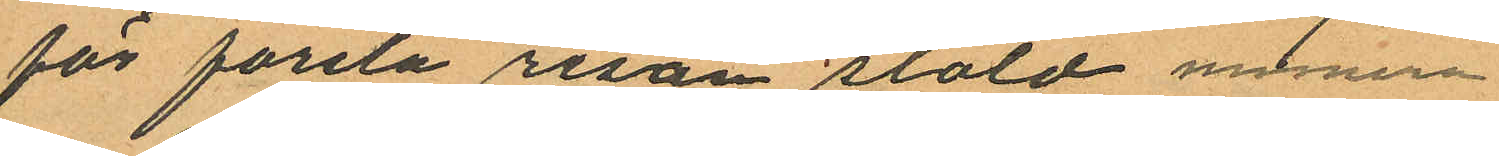för första resan stöld medmera
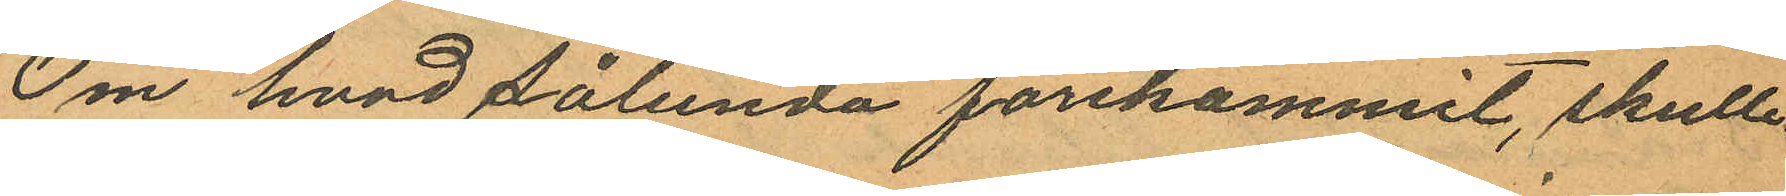Om hvad sålunda förekommit, skulle
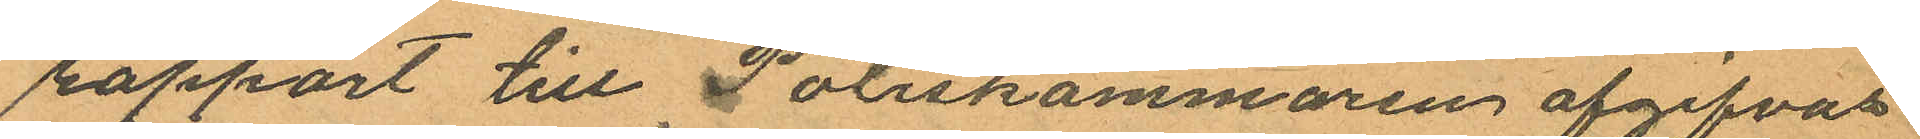rapport till Poliskammaren afgifvas
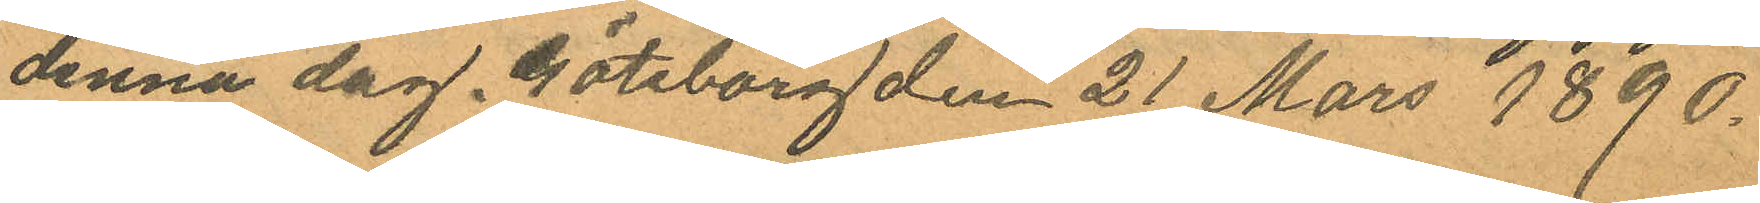denna dag. Göteborg den 21 Mars 1890.
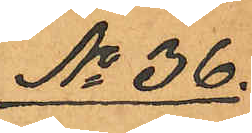No 36.
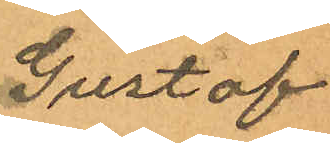Gustaf
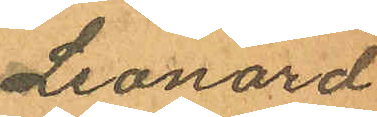Leonard
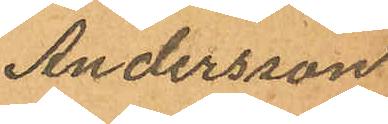Andersson
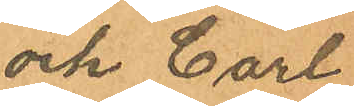och Carl
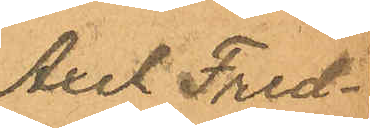Axel Fred¬
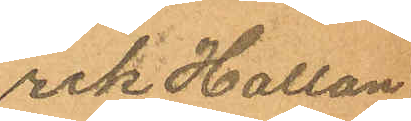rik Hallon¬
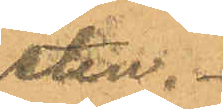sten.
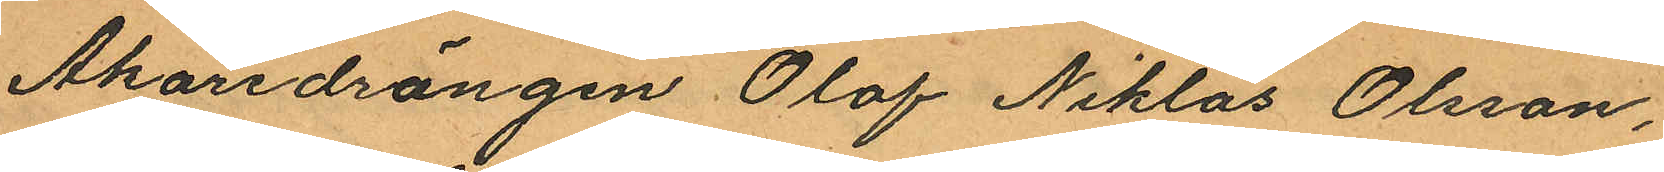Åkaredrängen Olof Niklas Olsson,
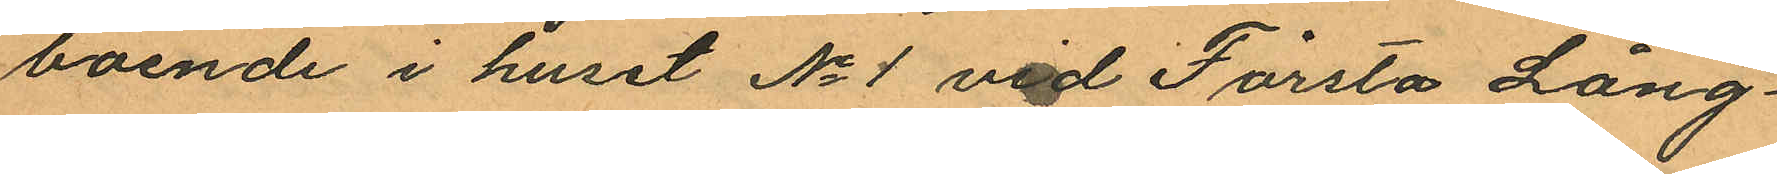boende i huset No 1 vid Första Lång¬
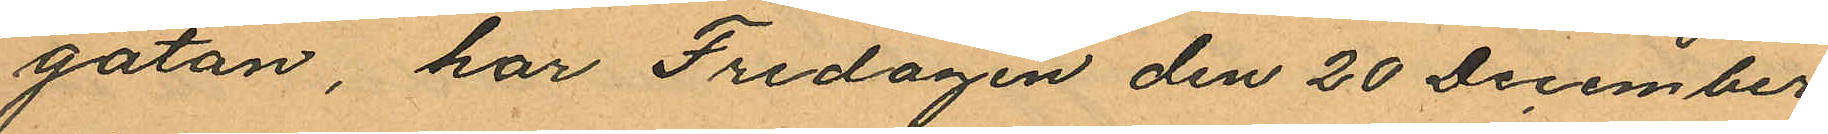gatan, har Fredagen den 20 December
